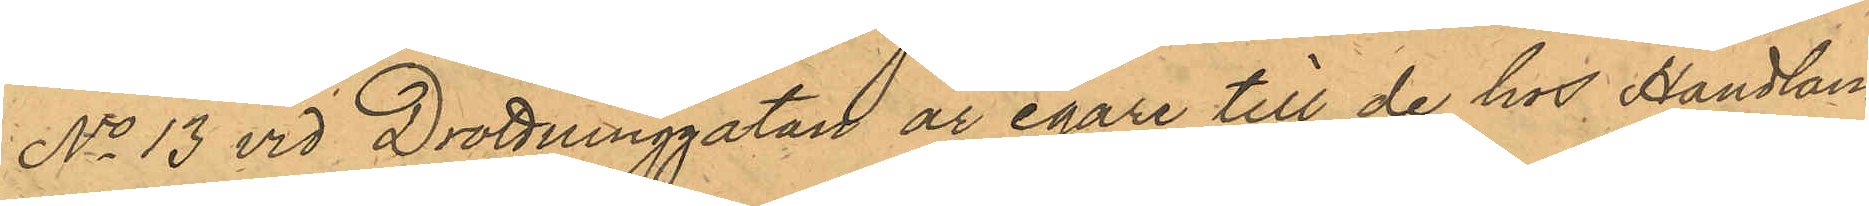No 13 vid Drottninggatan är egare till de hos Handlan¬
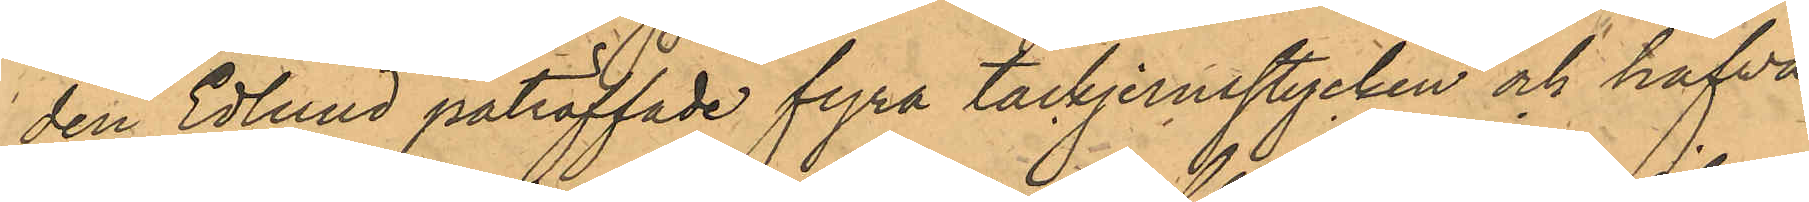den Edlund påträffade fyra tackjernstycken och hafva
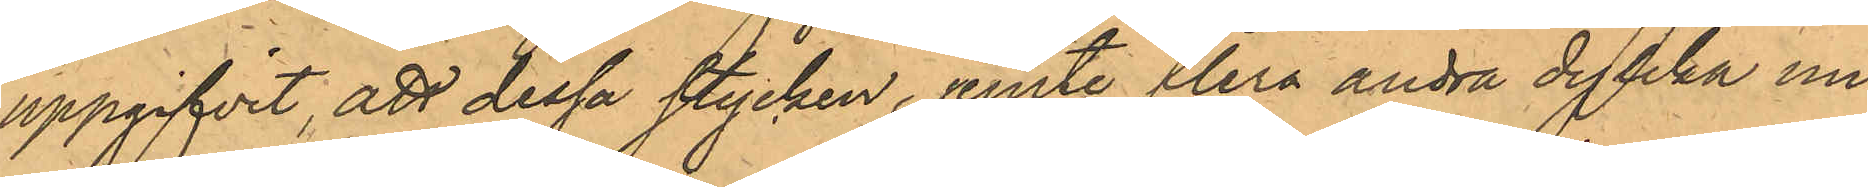uppgifvit, att dessa stycken, jemte flera andra dylika un¬
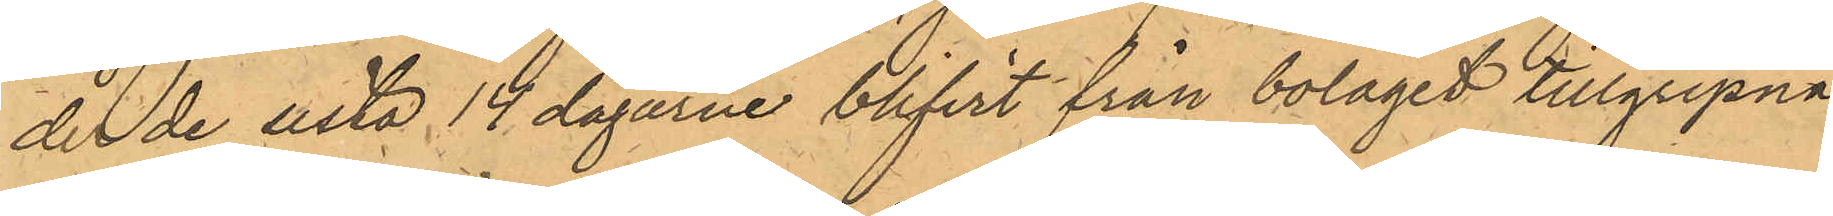de de sista 14 dagarne blifvit från bolaget tillgripna
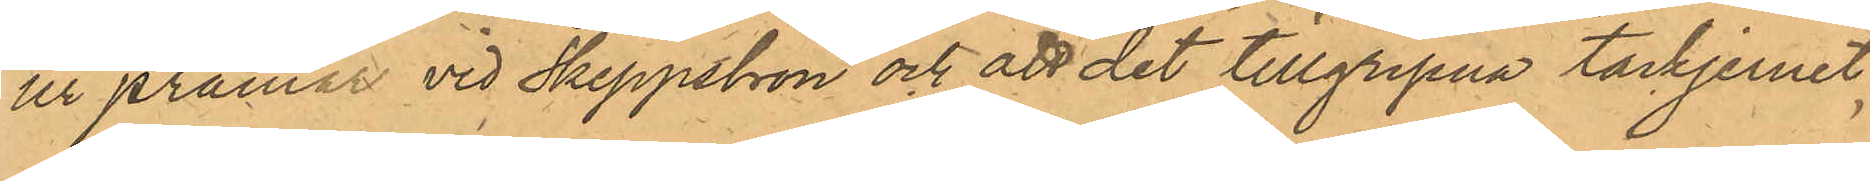ur pråmar vid Skeppsbron och att det tillgripna tackjernet
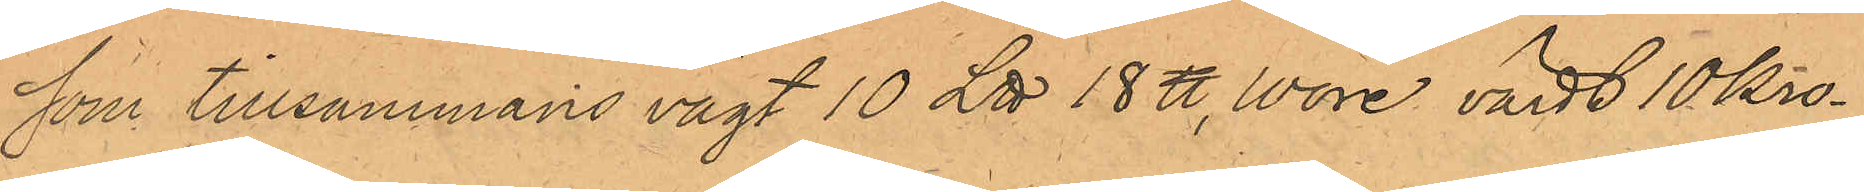som tillsammans vägt 10 L℔ 18 ℔, vore värdt 10 Kro¬
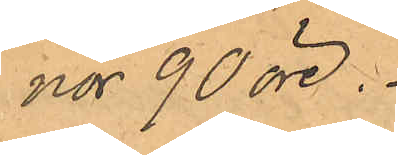nor 90 öre.
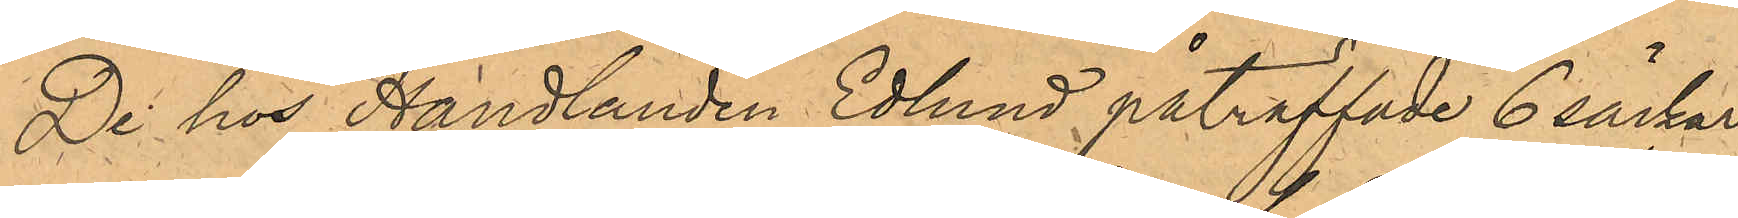De hos Handlanden Edlund påträffade 6 säckar
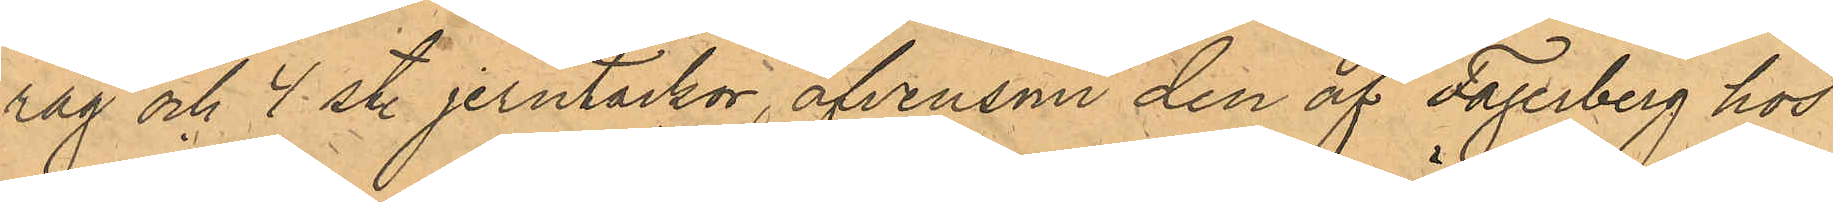råg och 4 st. jerntackor, äfvensom den af Fagerberg hos
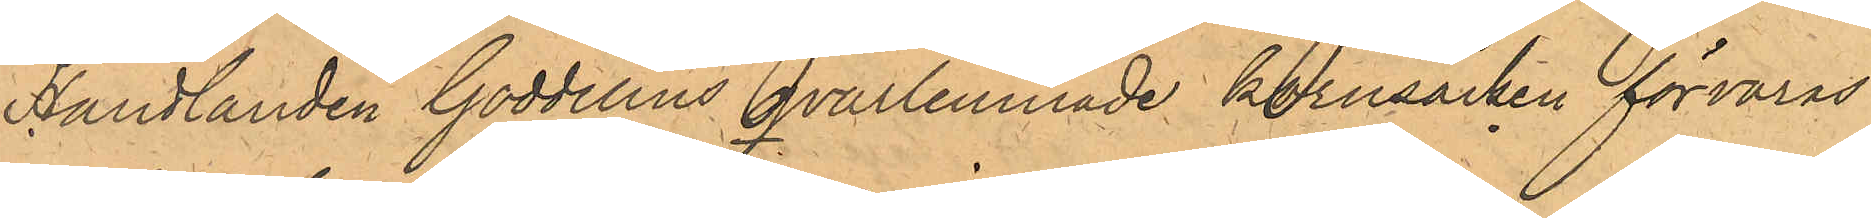Handlanden Gaddelius Qvarlemnade kornsäcken förvaras
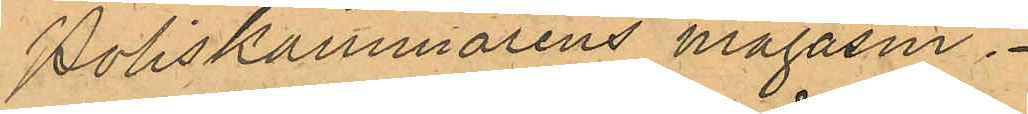Poliskammarens magasin.
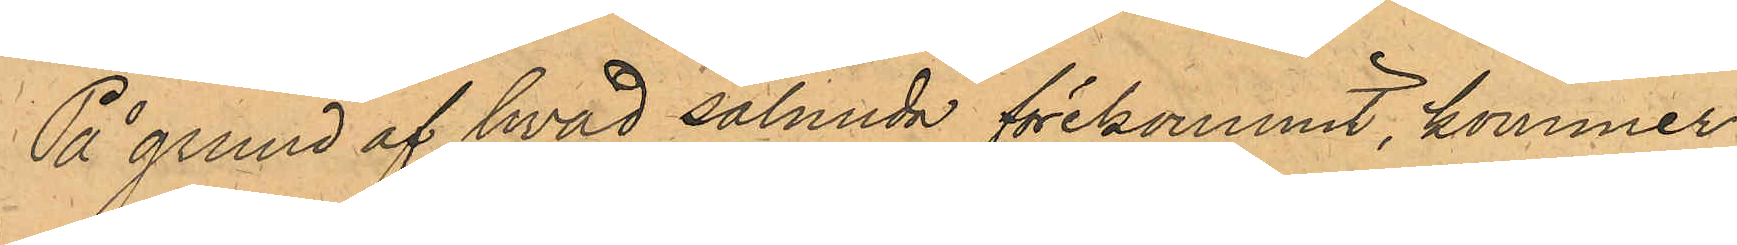På grund af hvad sålunda förekommit, kommer
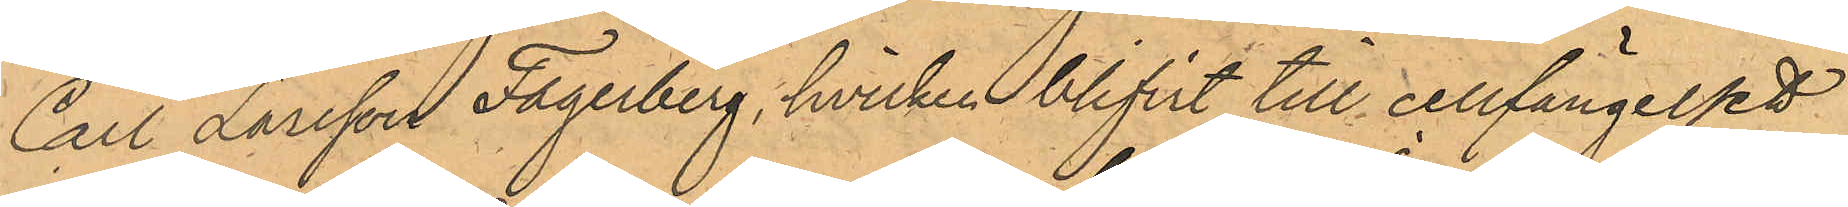Carl Larsson Fagerberg, hvilken blifvit till cellfängelset
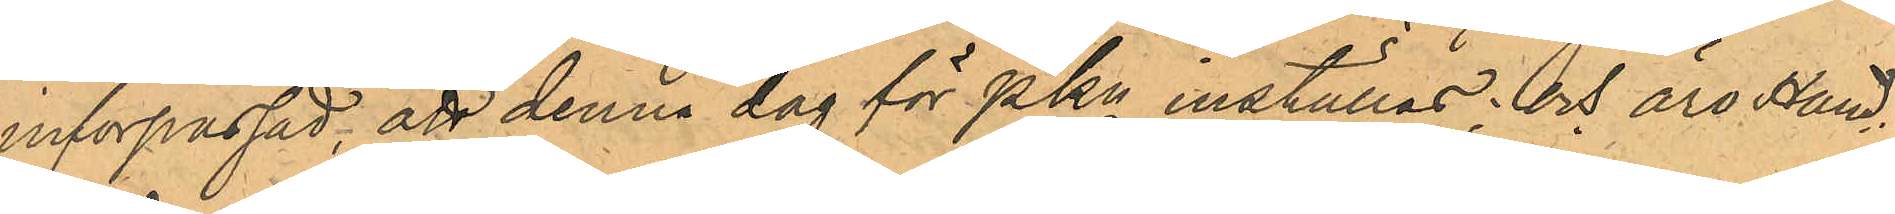införpassad, att denna dag för PKn inställas; och äro Hand¬
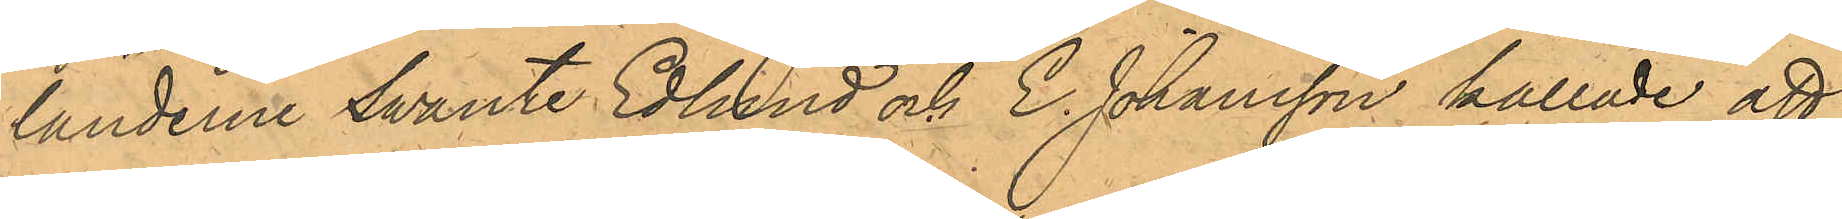landerne Swante Edlund och E. Johansson kallade att
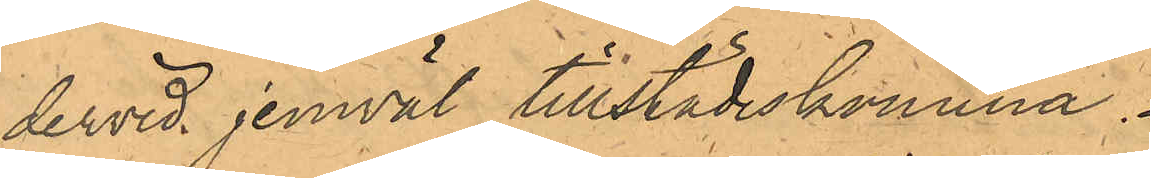dervid jemväl tillstädeskomma.
